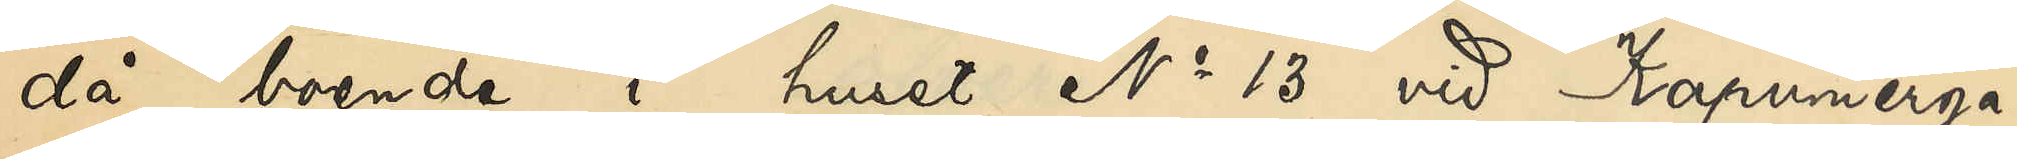då boende i huset No 13 vid Kapunierga¬
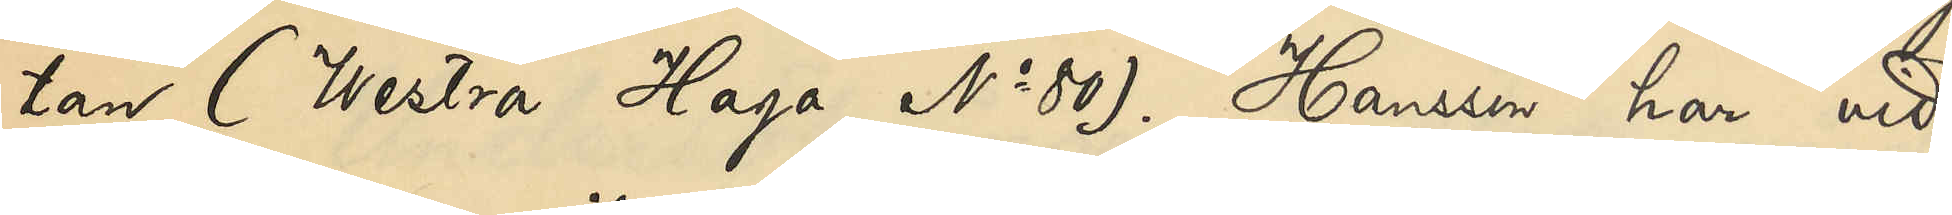tan (Westra Haga No 80). Hanssen har vid
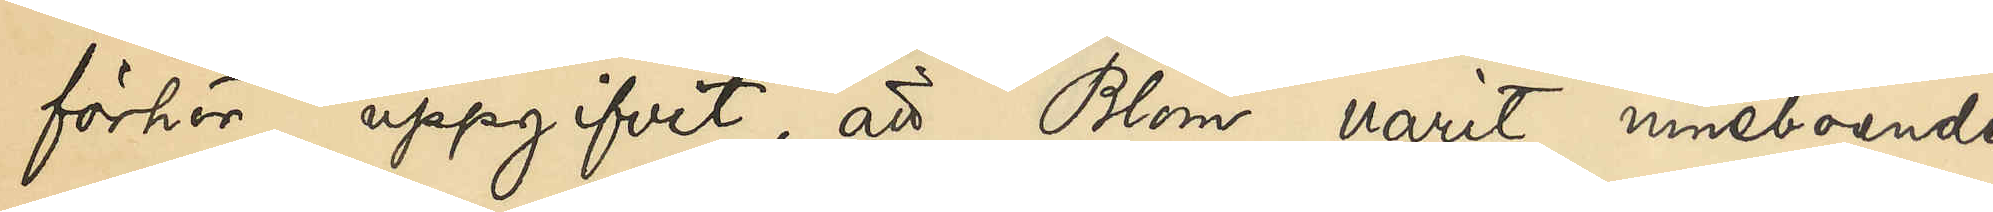förhör uppgifvit, att Blom varit inneboende
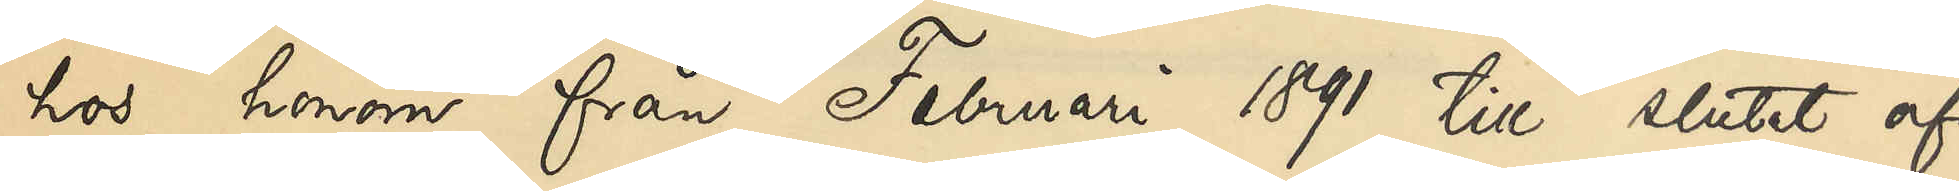hos honom från Februari 1891 till slutet af
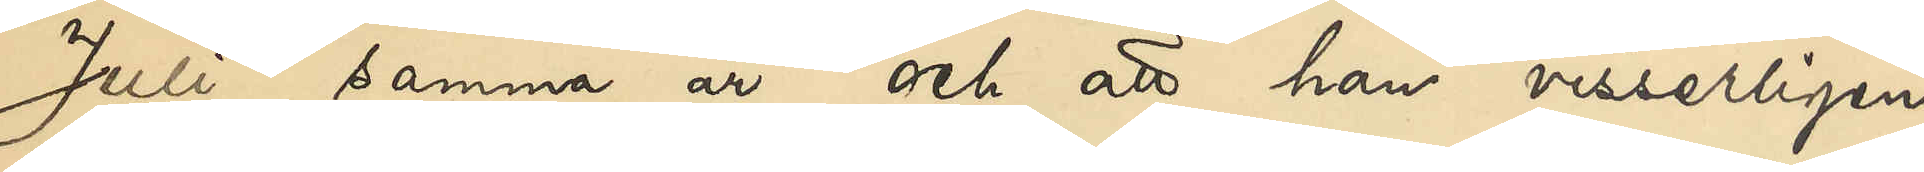Juli samma år och att han visserligen
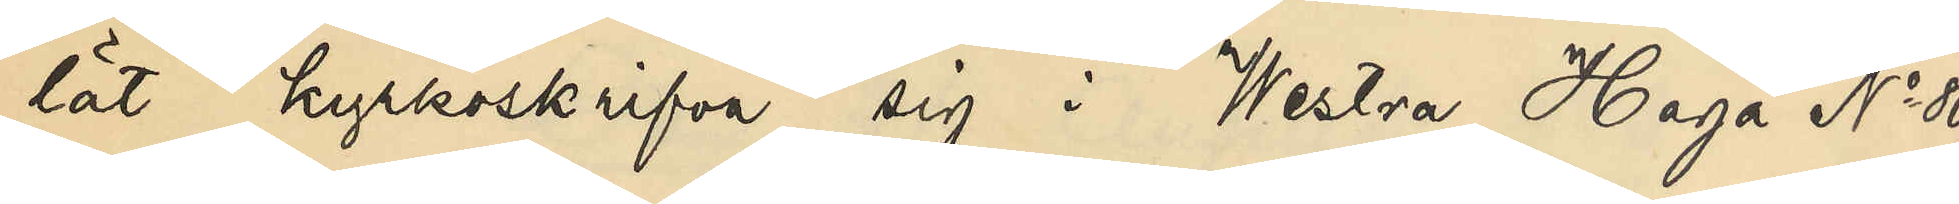lät kyrkoskrifva sig i Westra Haga No 80, 
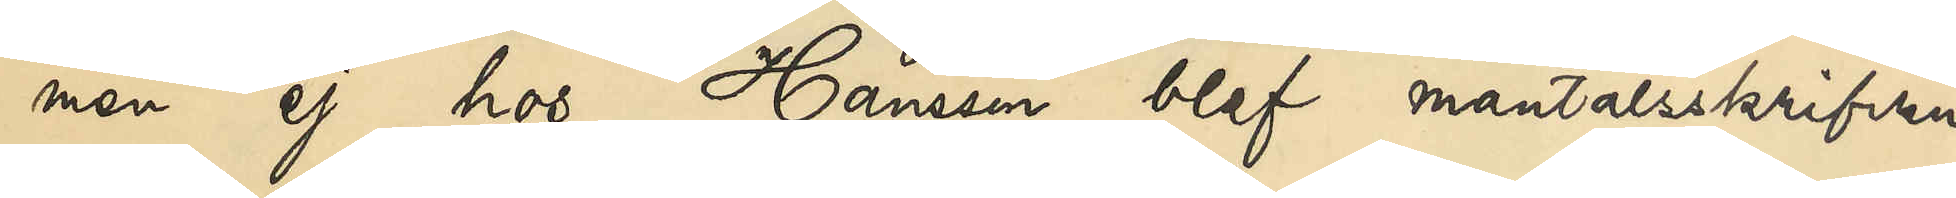men ej hos Hanssen blef mantalsskrifven,
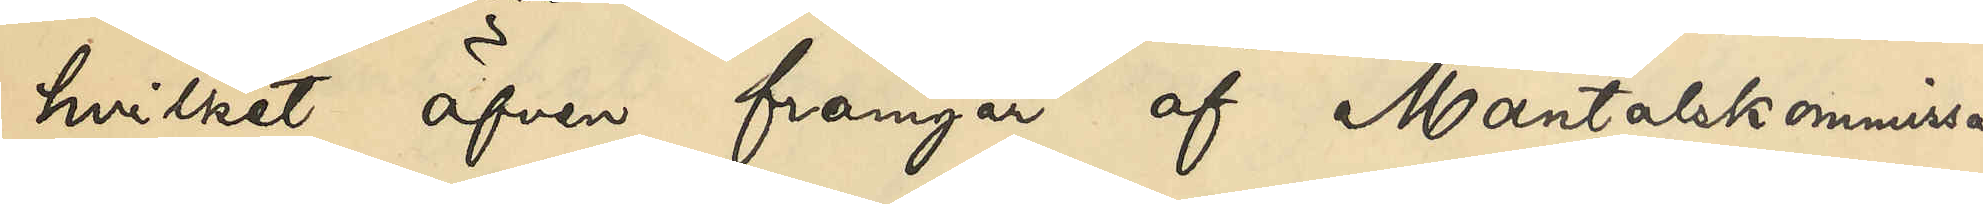hvilket äfven framgår af Mantalskommisa¬
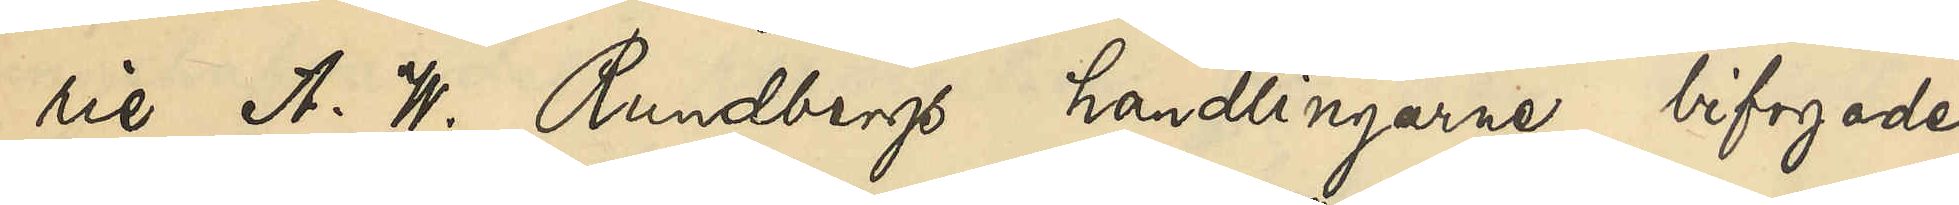rie A. W. Rundbergs handlingarne bifogade
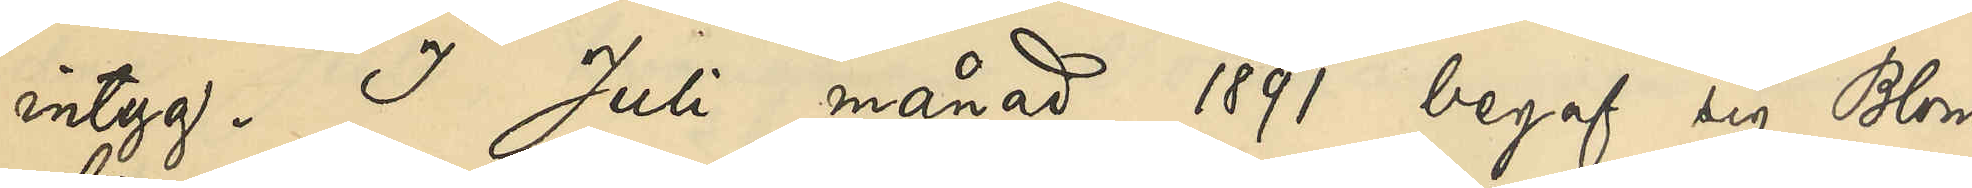intyg. I Juli månad 1891 begaf sig Blom
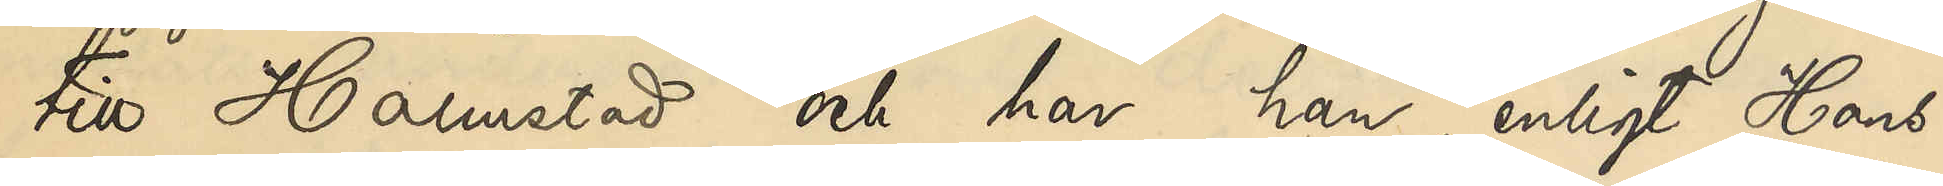till Halmstad och har han, enligt Hans¬
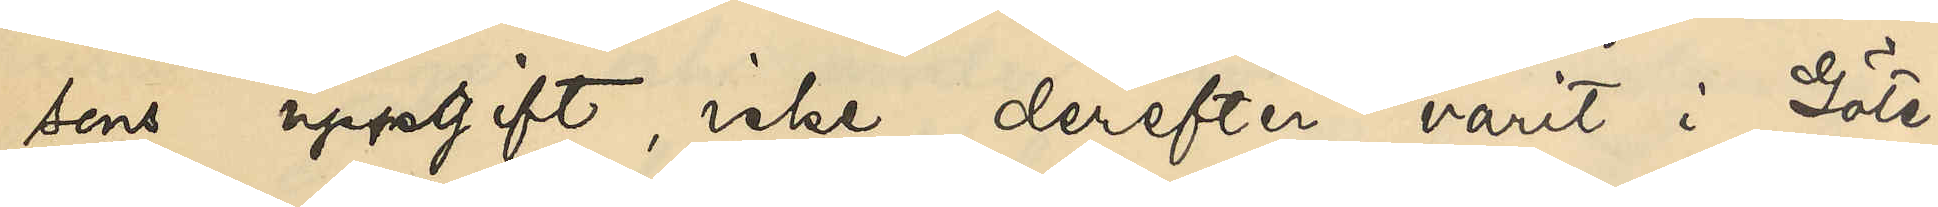sens uppgift, icke derefter varit i Göte¬
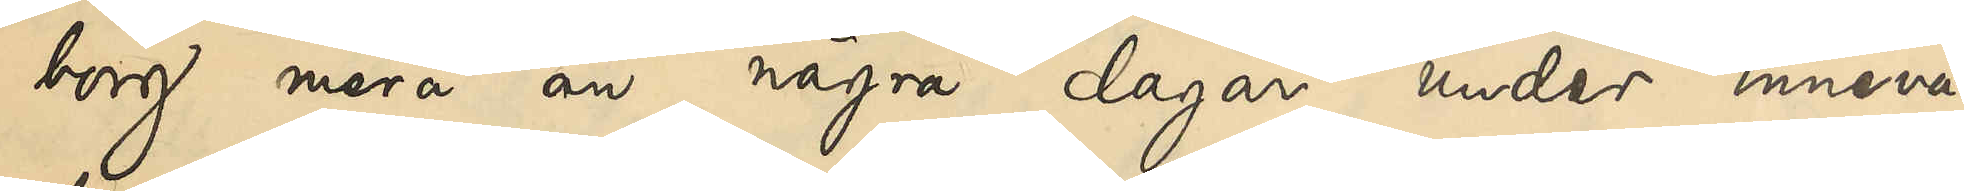borg mer än några dagar under inneva¬
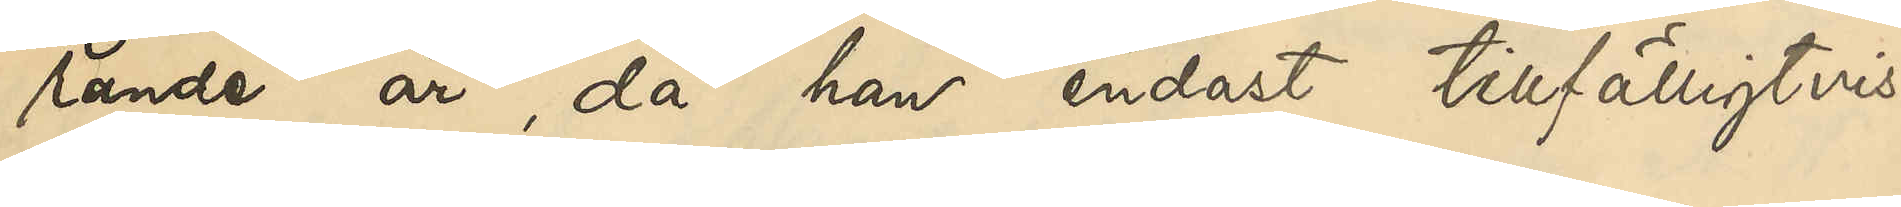rande år, då han endast tillfälligtvis
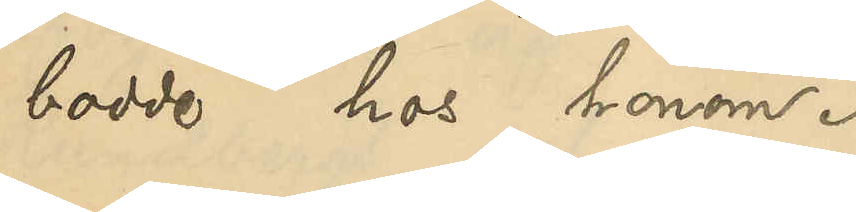bodde hos honom.
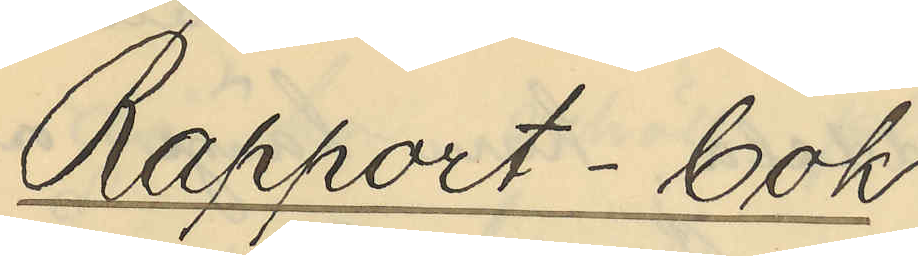Rapport - bok
